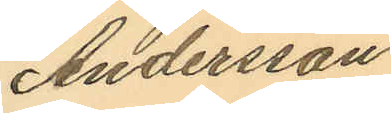Andersson
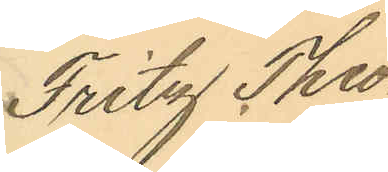Fritz Theo¬
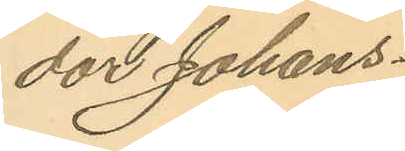dor Johans¬
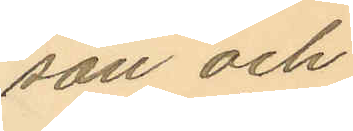son och
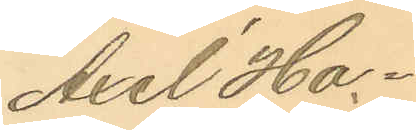Axel Ha¬
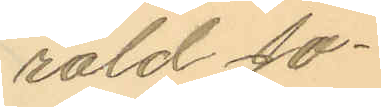rald Jo¬
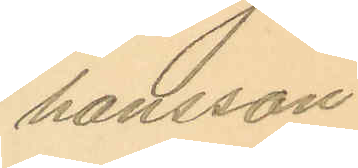hansson
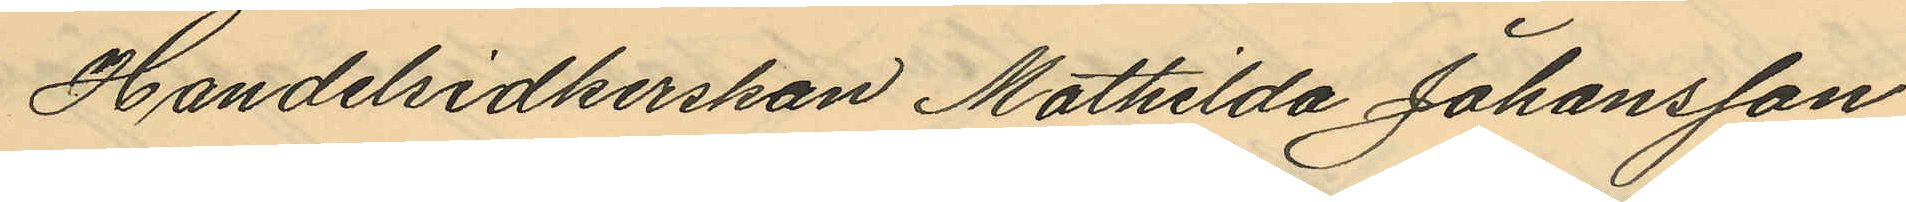Handelsidkerskan Mathilda Johansson
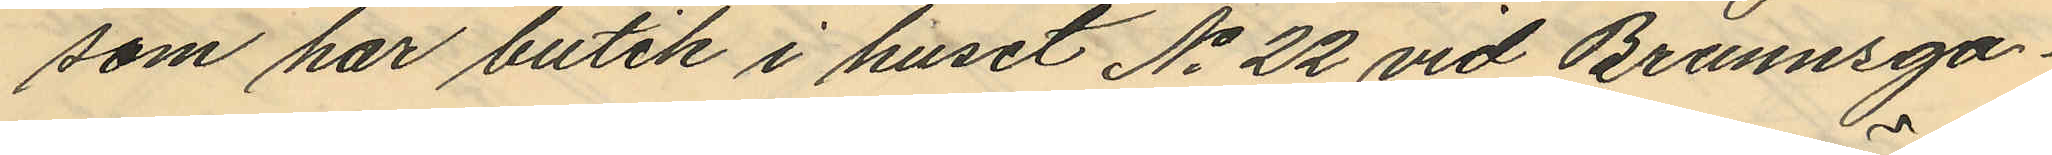som har butik i huset No 22 vid Brunnsga¬
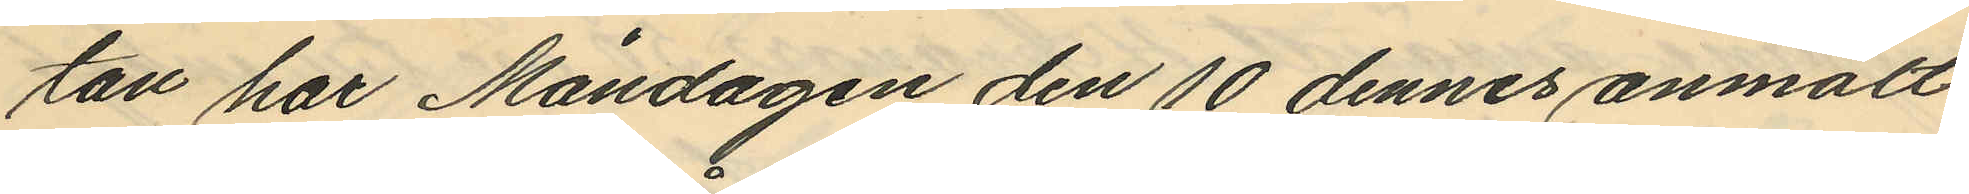tan har Måndagen den 10 dennes anmält,
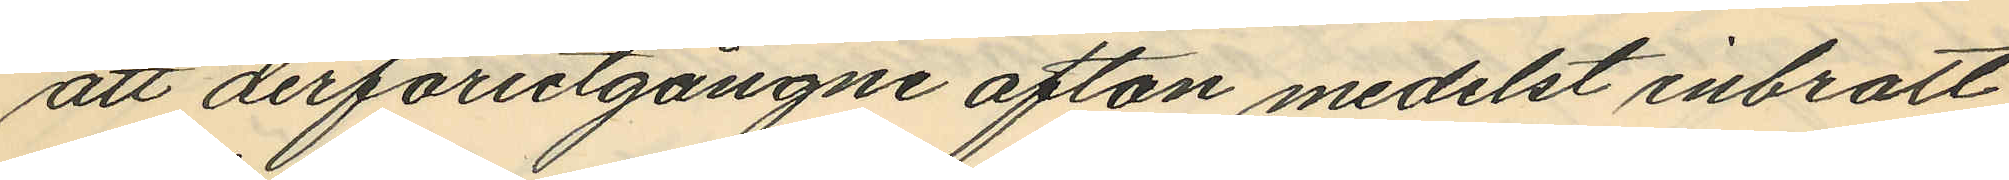att derförutgångne afton medelst inbrott
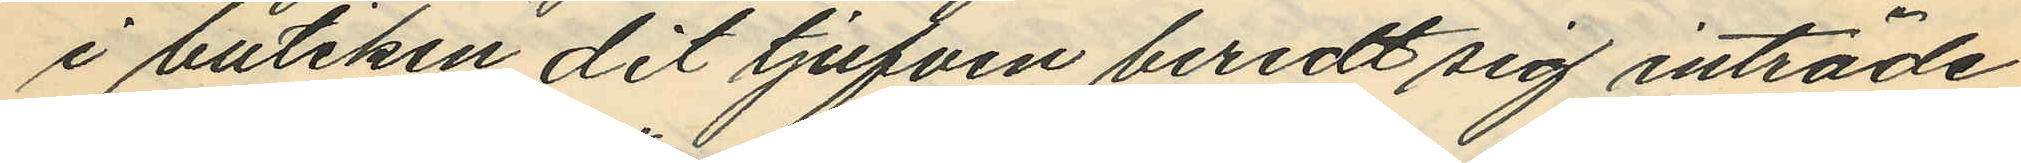i butiken, dit tjufven beredt sig inträde
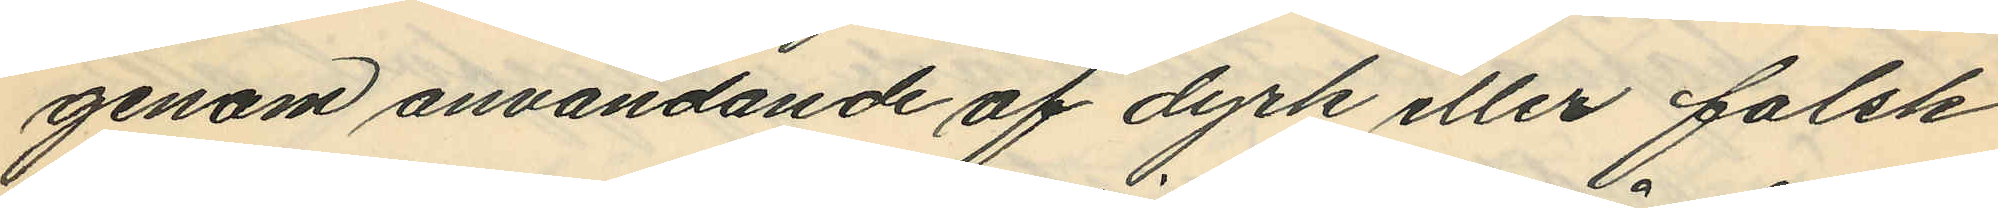genom användande af dyrk eller falsk
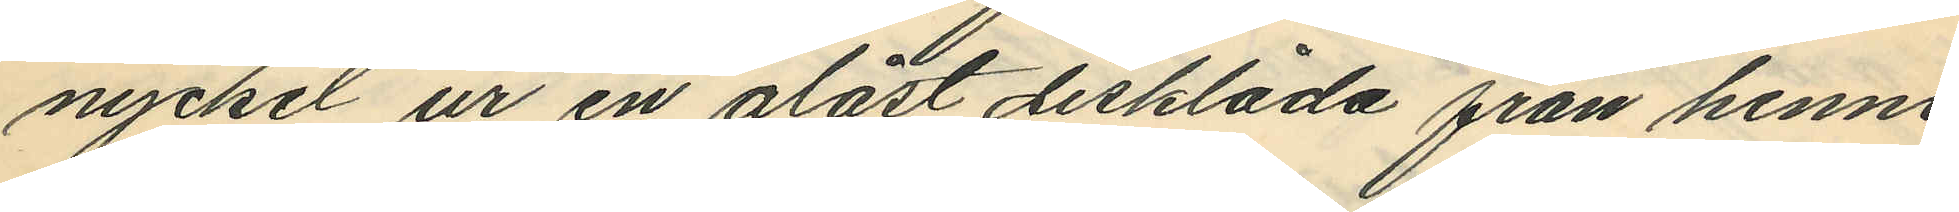nyckel ur en olåst disklåda från henne
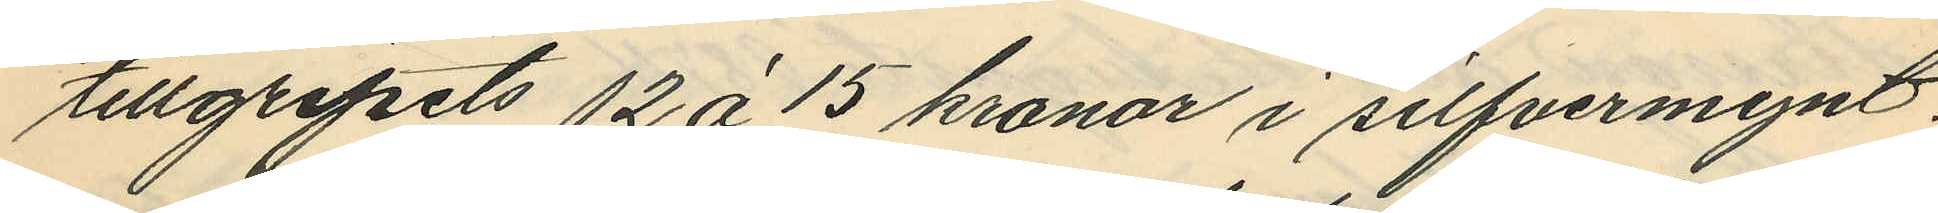tillgripits 12 à 15 kronor i silfvermynt.
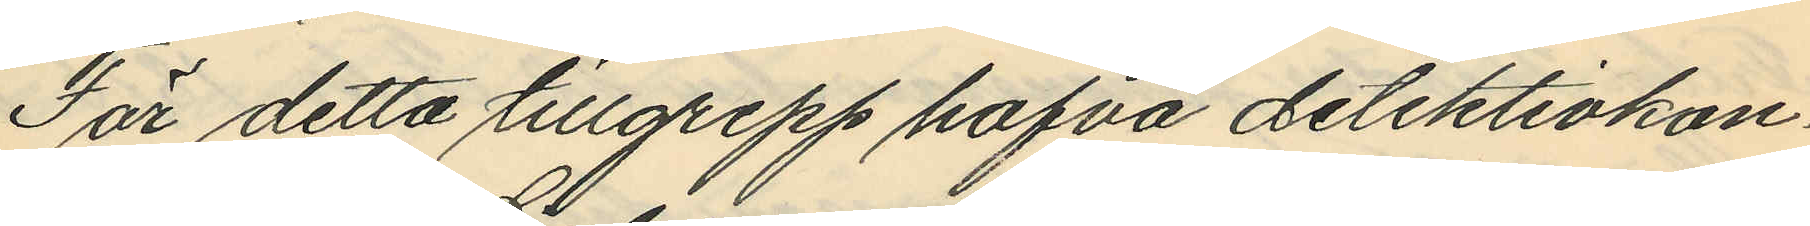För detta tillgrepp hafva detektivkon¬
